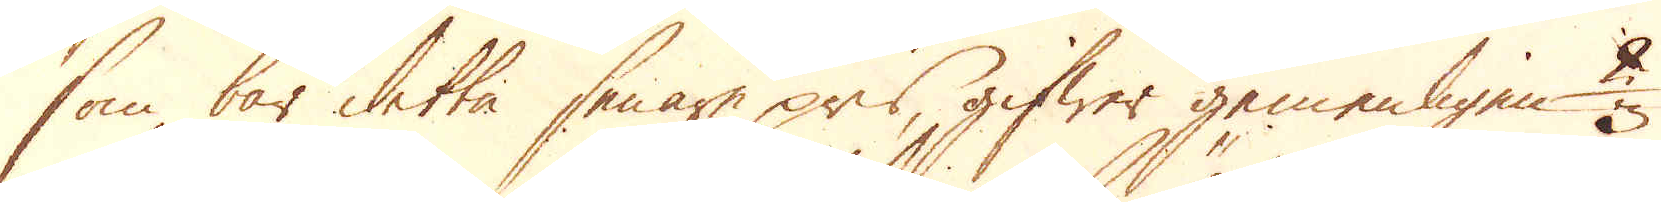som bär detta senare pris, gifwer gemenligen 2
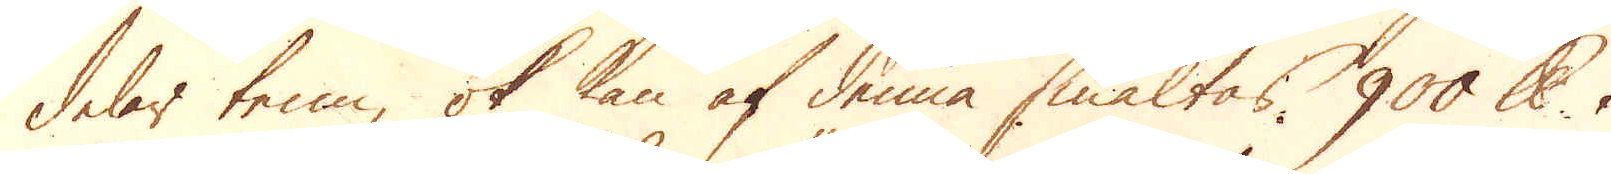delar tenn, ok kan af denna smältas 900 skålpund i
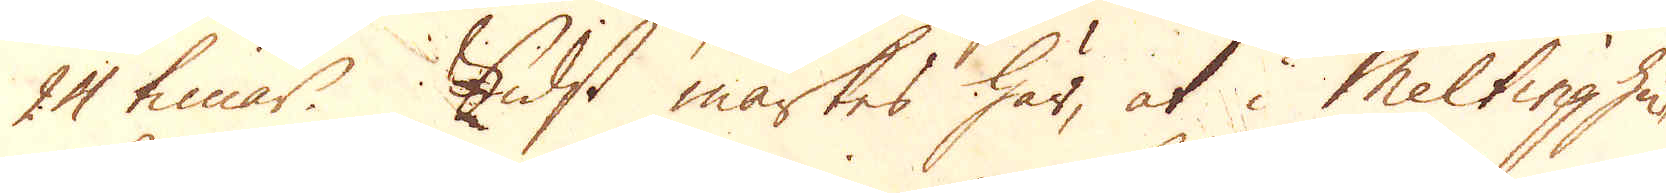24 timar. Sidst märkes här, at i Meltinghu-
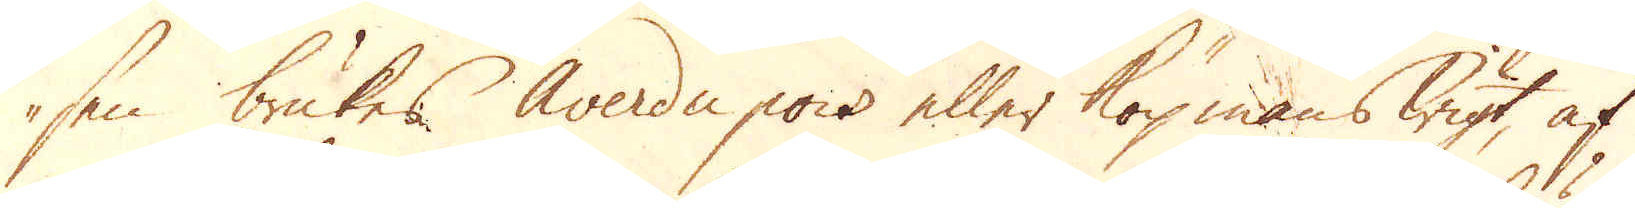sen brukes Averdu pois eller köpmans wigt, af
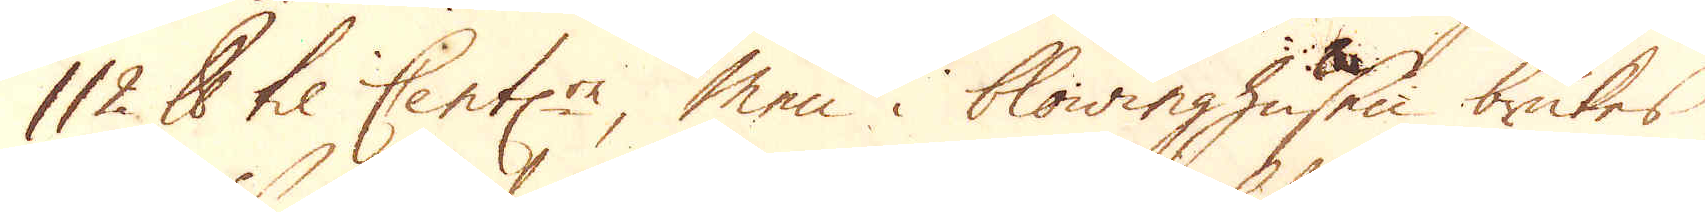112 skålpund til Cent:rn men i blowinghusen brukes
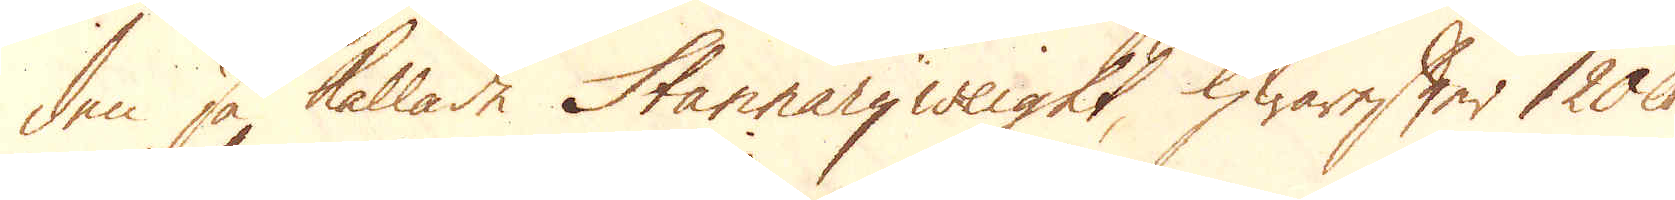den så kallade Stannaryweight, hwarefter 120 skålpund
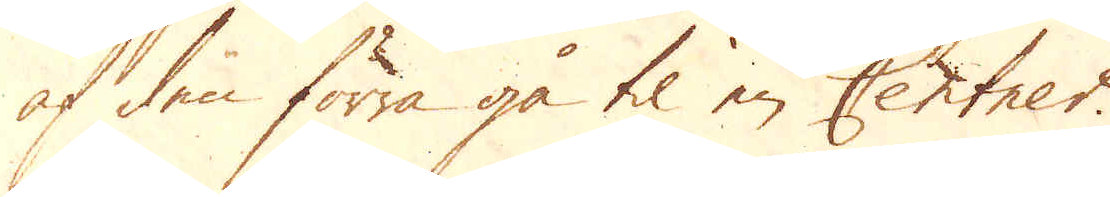af den förra gå til en Centner.
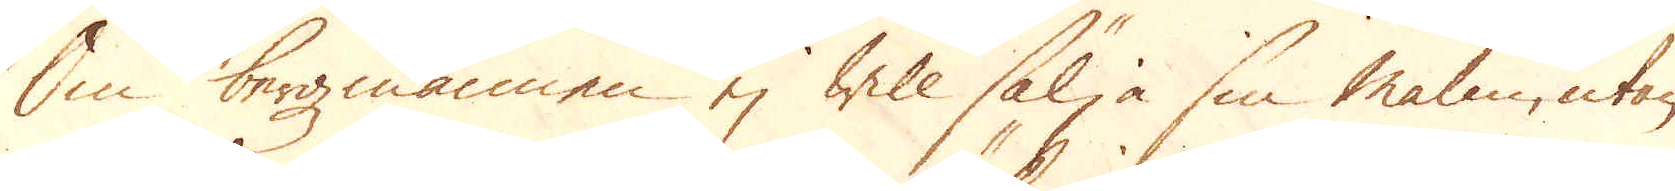Om bergzmannen ej will sälja sin Malm, utan
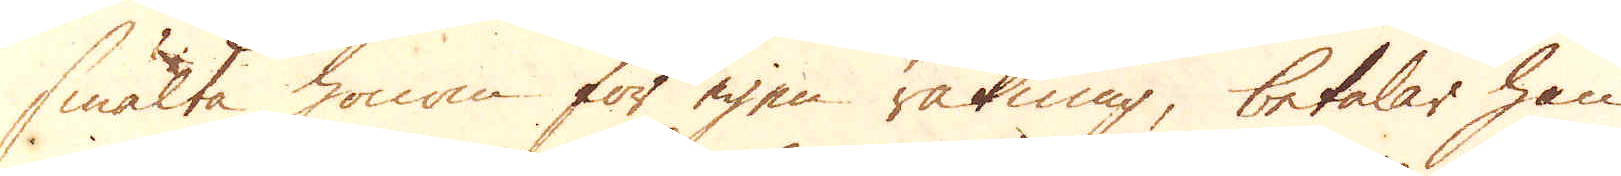smälta honom för egen räkning, betalar han
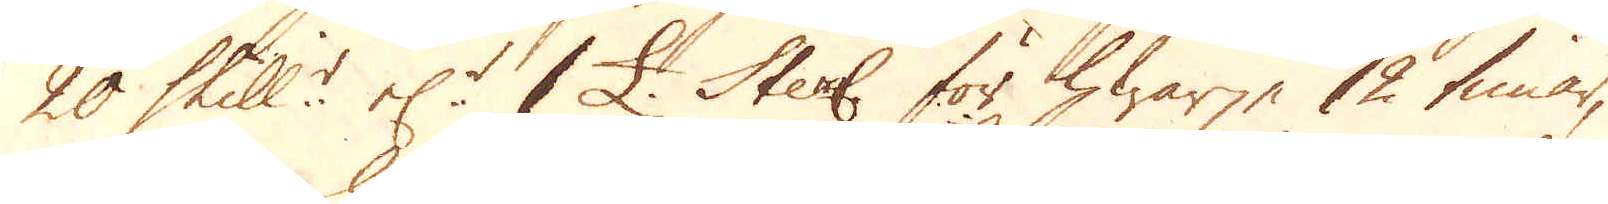20 Skill:r el:r 1 £. Sterl: för hwarje 12 timar,
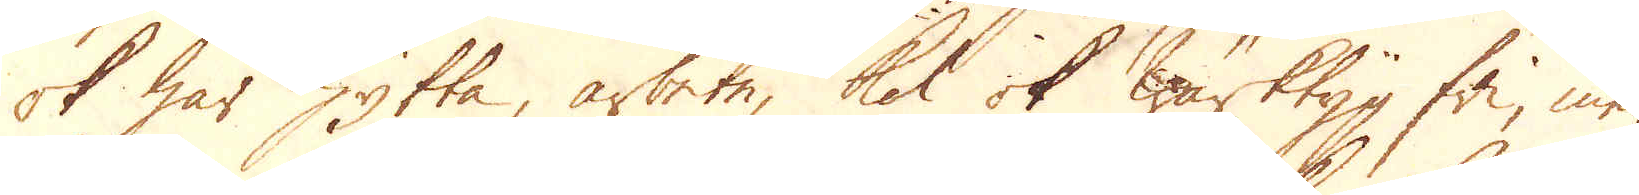ok har hytta, arbete, kol ok wärktyg fri, men
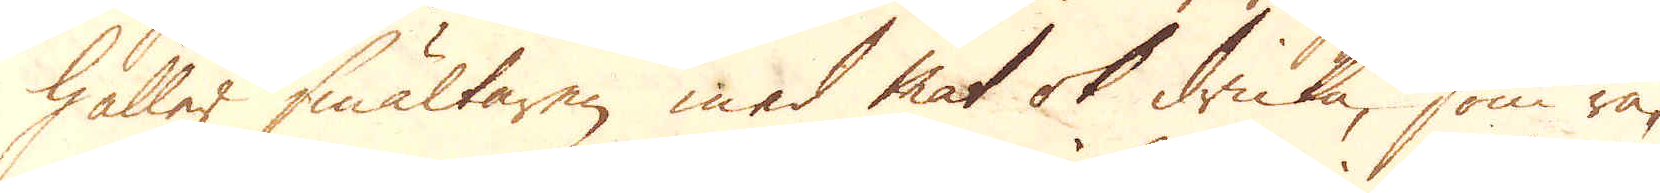håller smältaren med mat ok dricka, som rä-
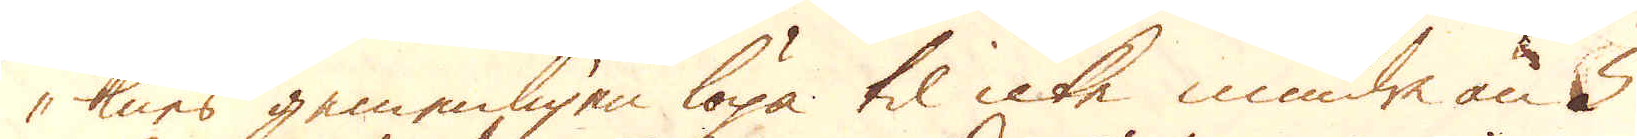knes gemenligen löpa til icke mindre än 5
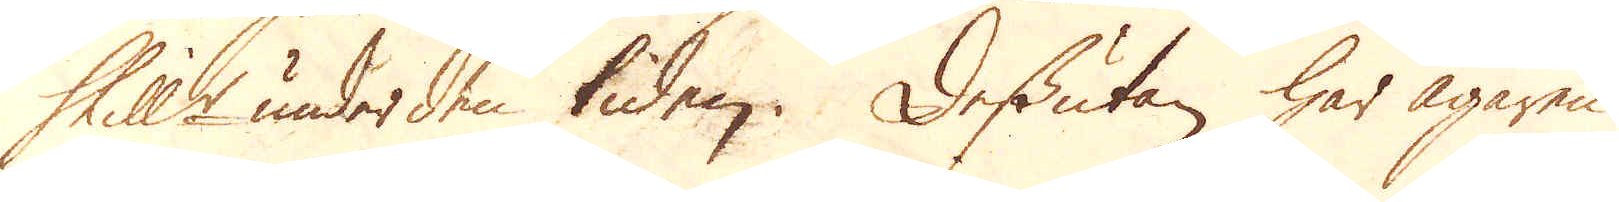Skill:r under den tiden. Dessutan har ägaren
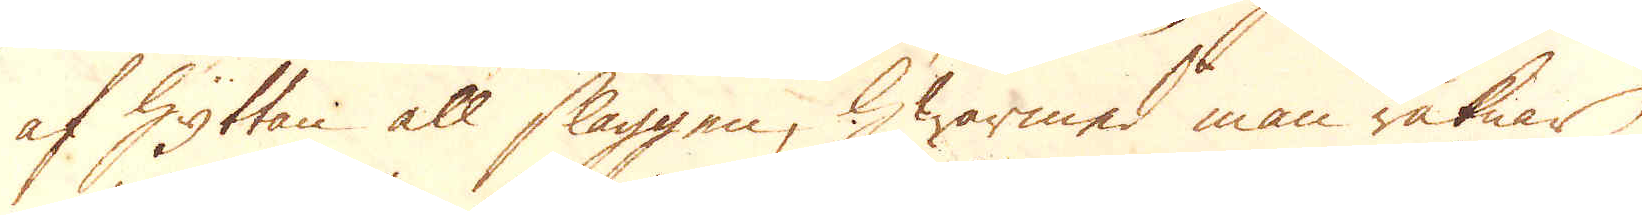af Hyttan all slaggen, hwarmed man räknar
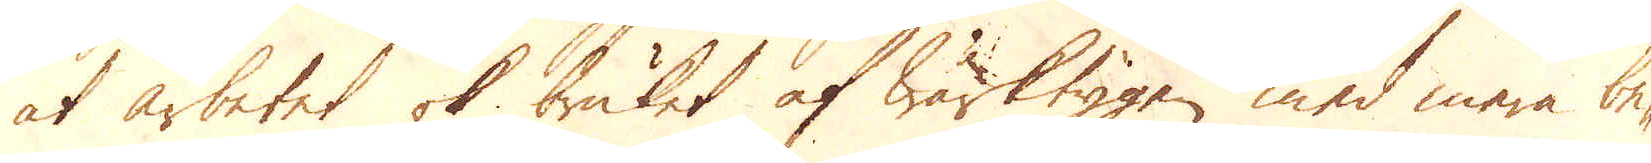at arbetet ok bruket af Wärktygen med mera be-
